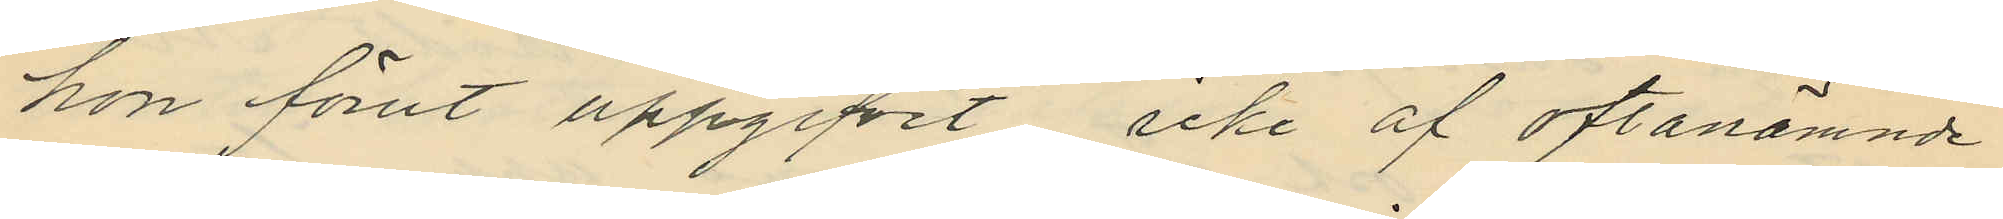hon förut uppgifvit icke af oftanämnde
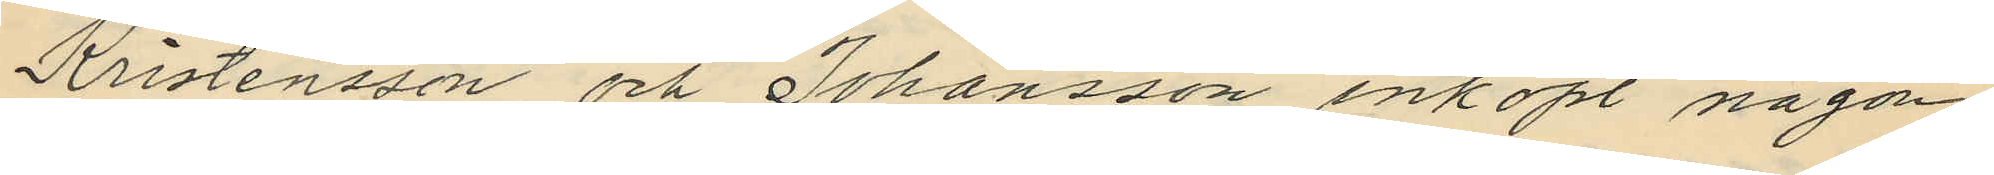Kristensson och Johansson inköpt någon
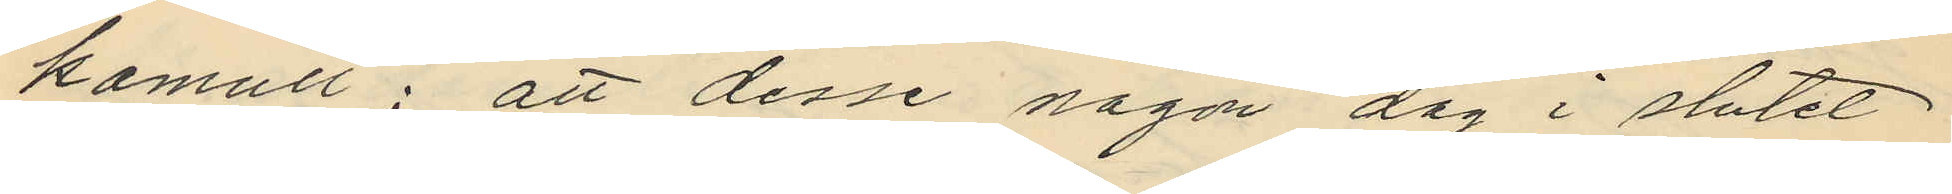kamull; att desse någon dag i slutet
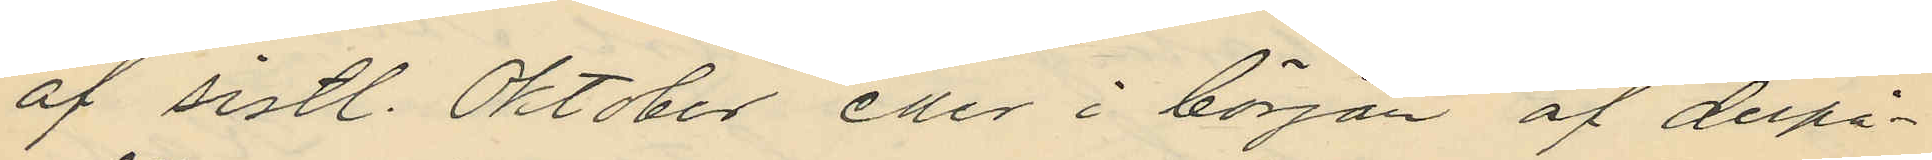af sistl. Oktober eller i början af derpå¬
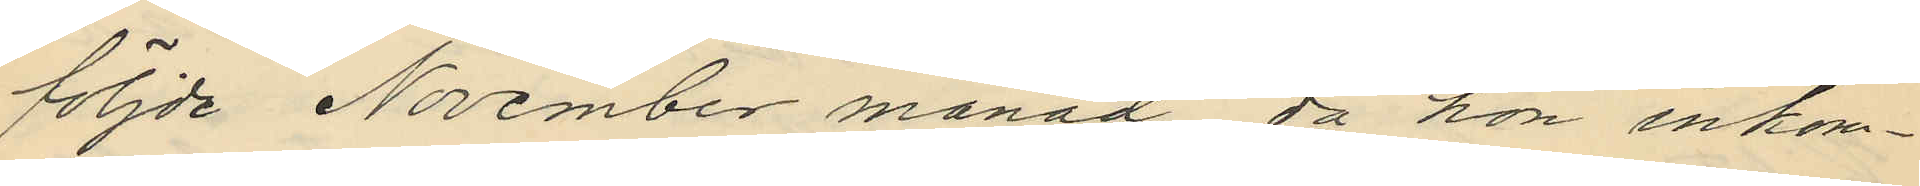följde November månad då han inkom¬
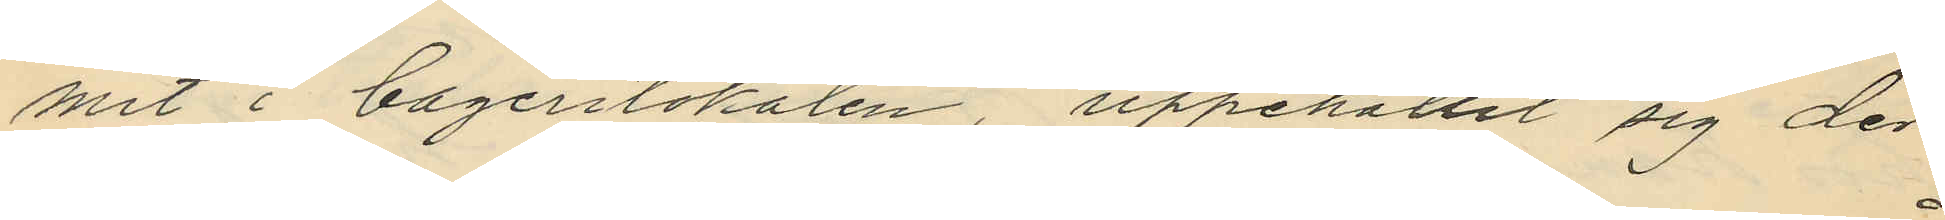mit i bagerilokalen uppehållit sig der
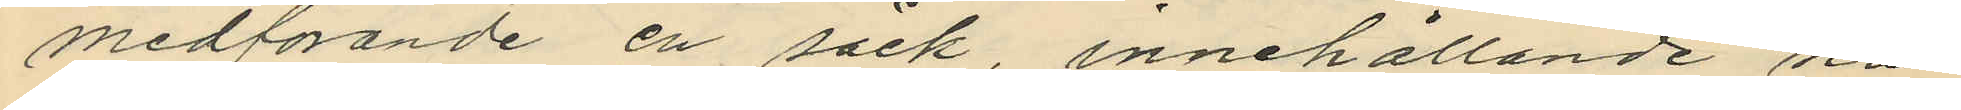medförande en säck, innehållande nå¬
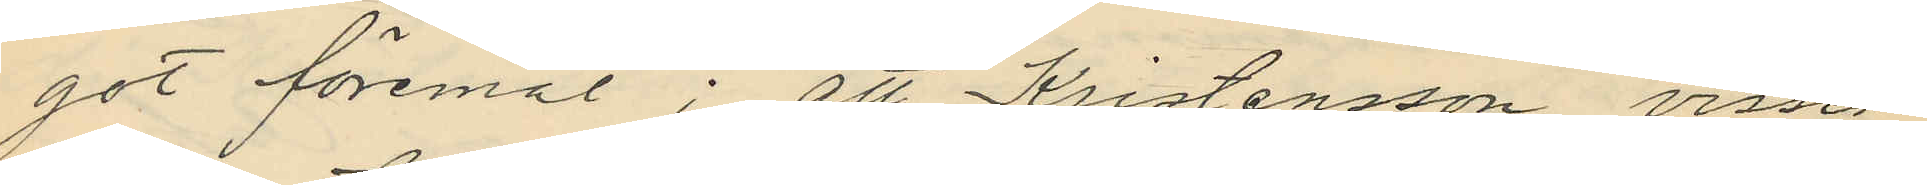got föremål; att Kristensson visser¬
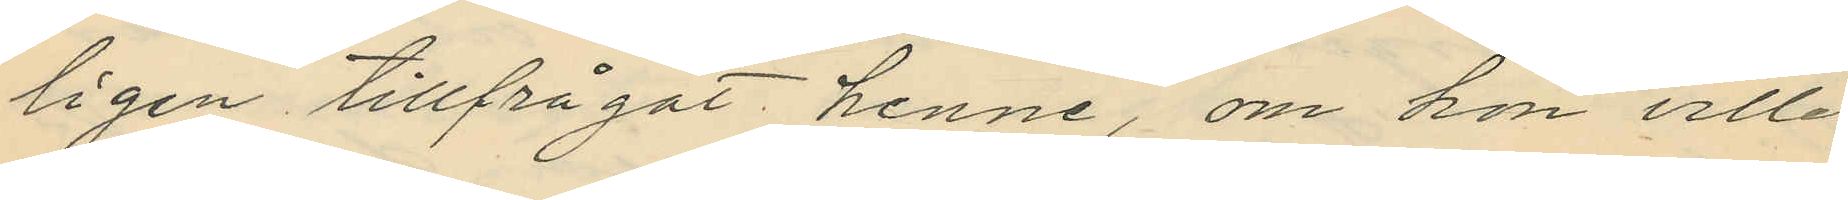ligen tillfrågat henne, om hon ville
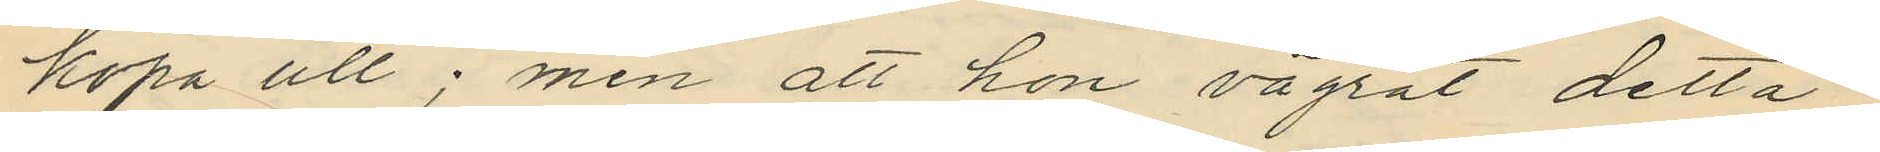köpa ull; men att hon vägrat detta;
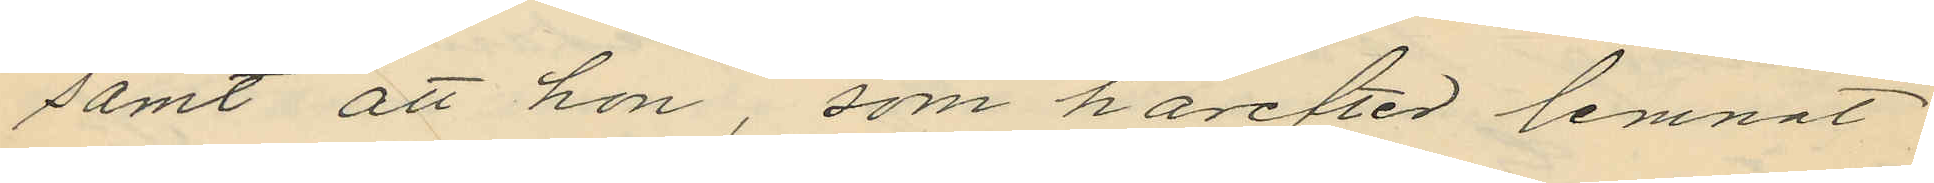samt att hon, som härefter lemnat
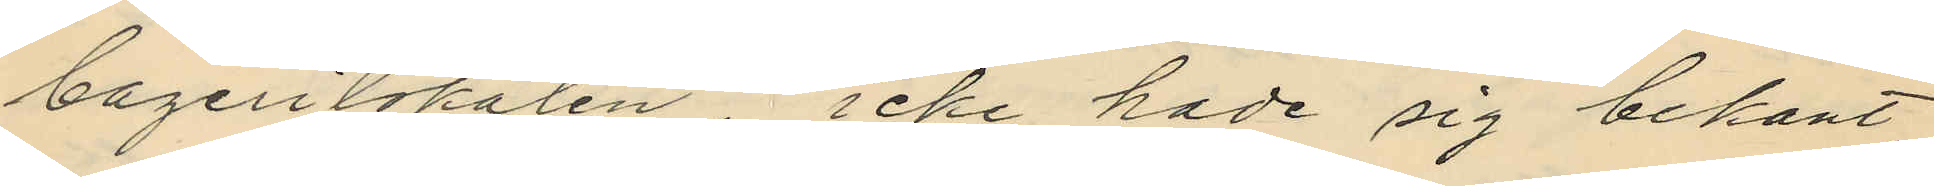bagerilokalen icke hade sig bekant
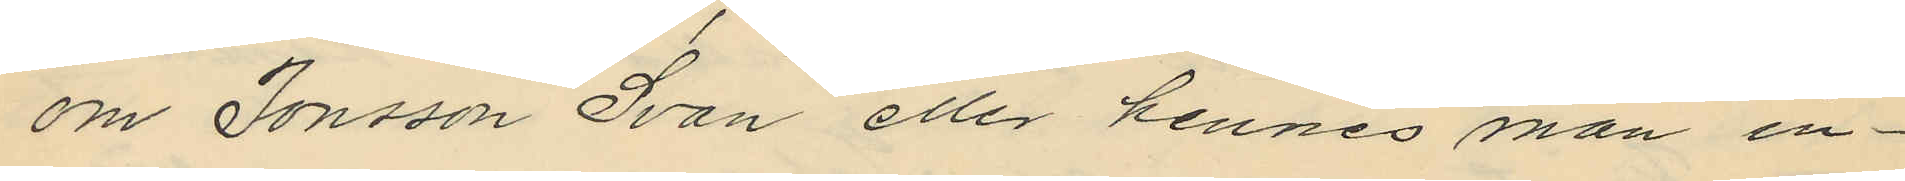om Jonsson Svan eller hennes man in¬
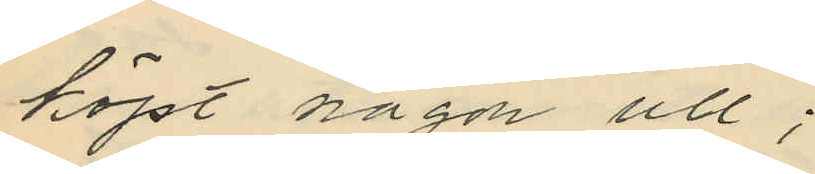köpt någon ull;
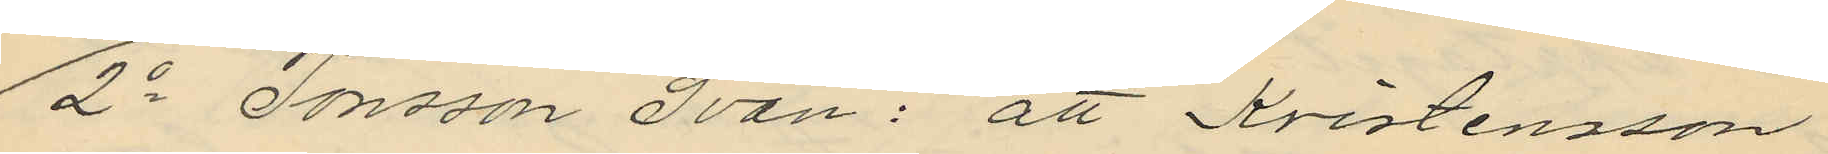2o Jonsson Svan: att Kristensson
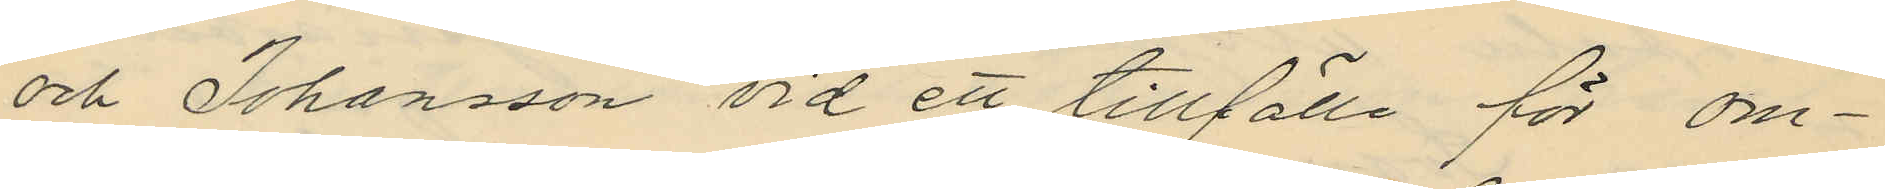och Johansson vid ett tillfälle för om¬
